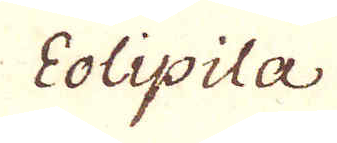Eolipila
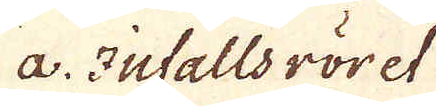a. Infallsröret
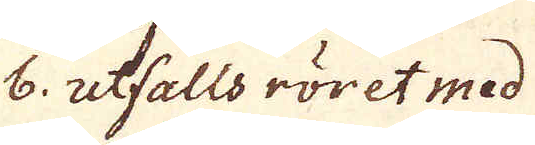b. utfalls röret med
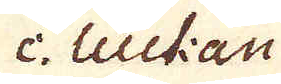c. luckan
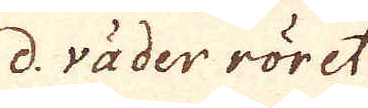d. väder röret
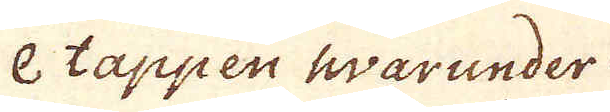e tappen warunder
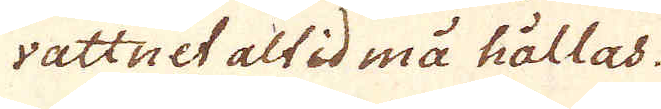vattnet altid må hållas.
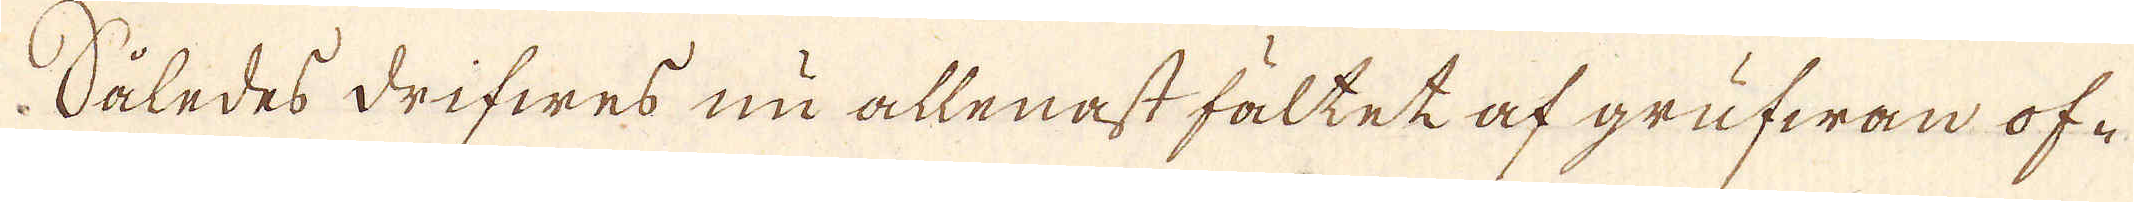Således drifwes nu allenast fältet af grufwan of-
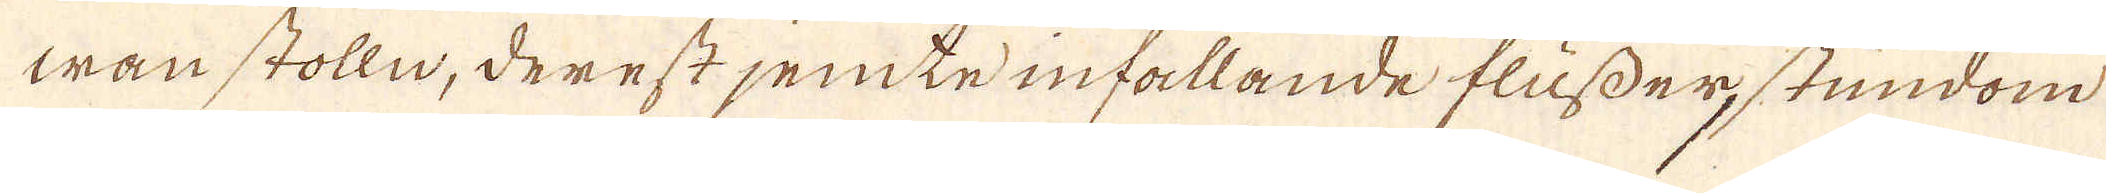wan stolln, derest jemte infallande flusser, stundom
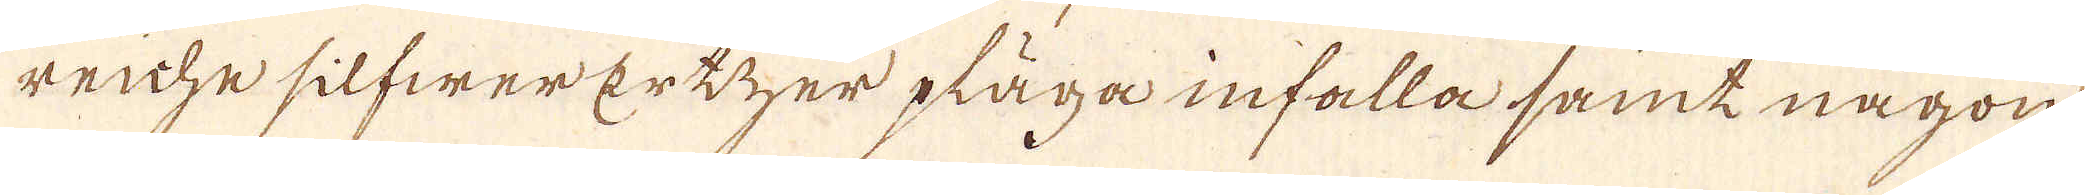reiche silfwer ertzer pläga infalla samt någon
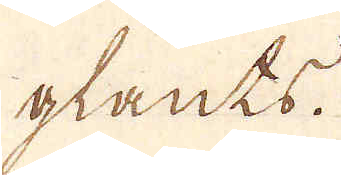glants.
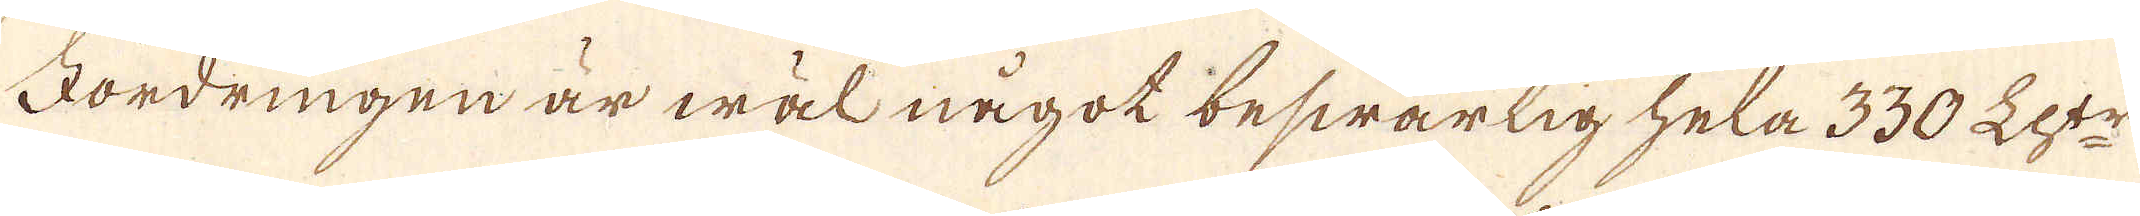Fordringen är wäl något beswärlig hela 330 Lh:tr
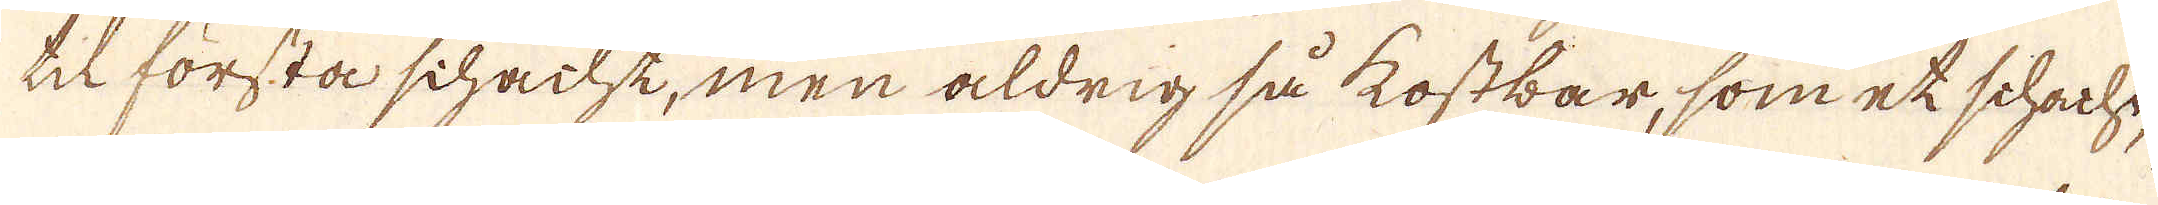til första schacht, men aldrig så kostbar, som et schacht,
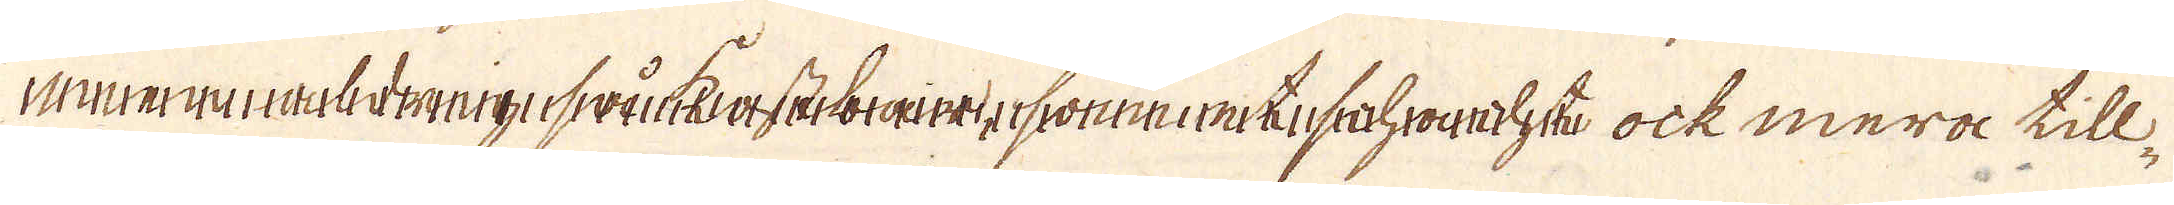ock mera till-
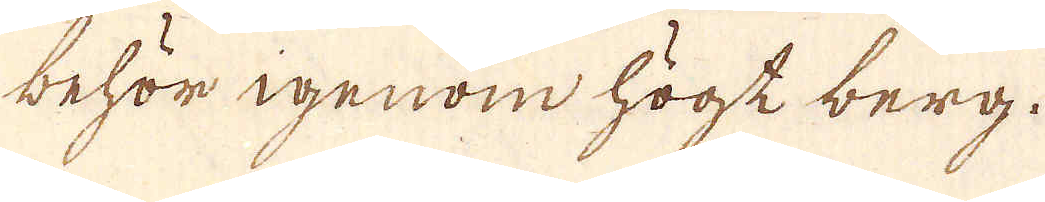behör igenom högt berg.
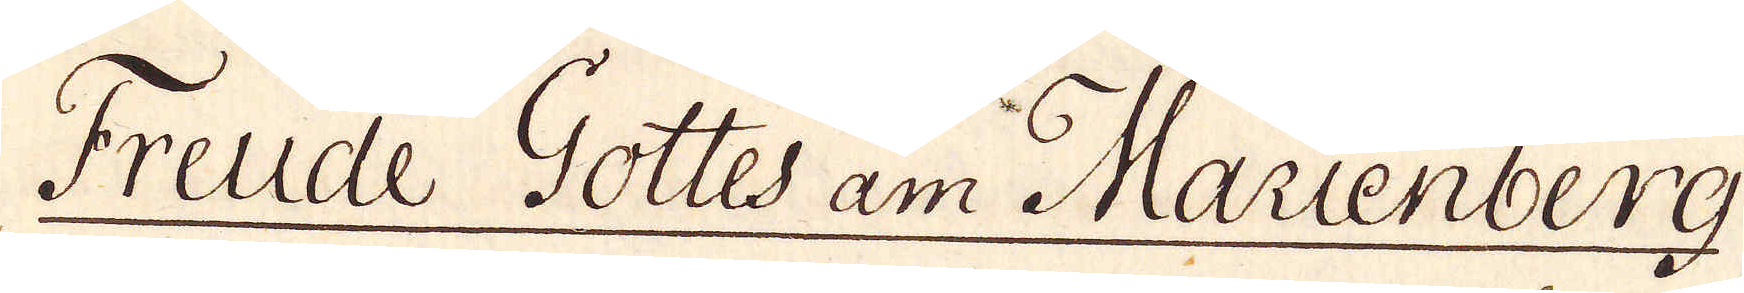Freude Gottes am Marienberg
